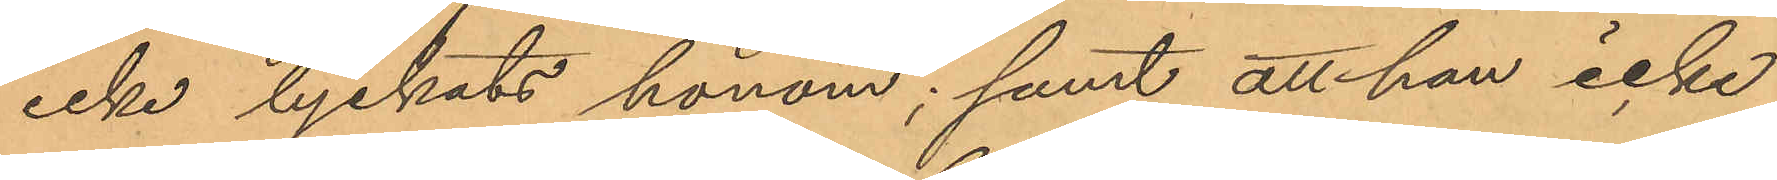icke lyckats honom; samt att han icke
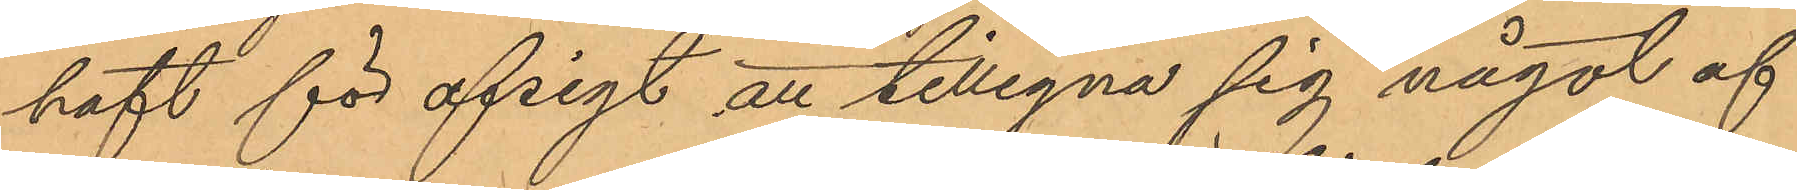haft för afsigt att tillegna sig något af
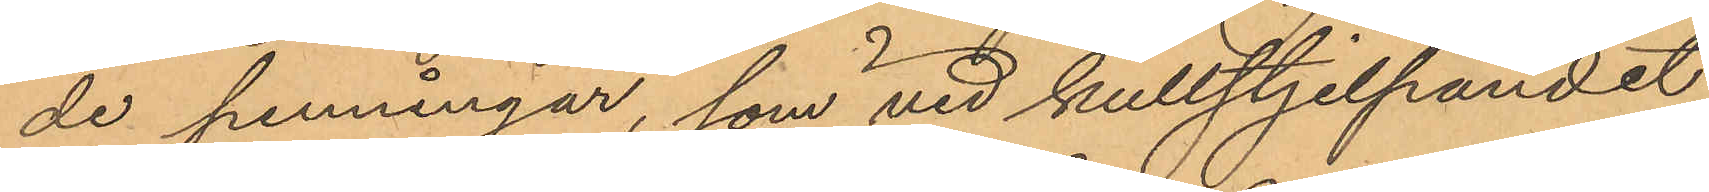de penningar, som vid kullstjelpandet
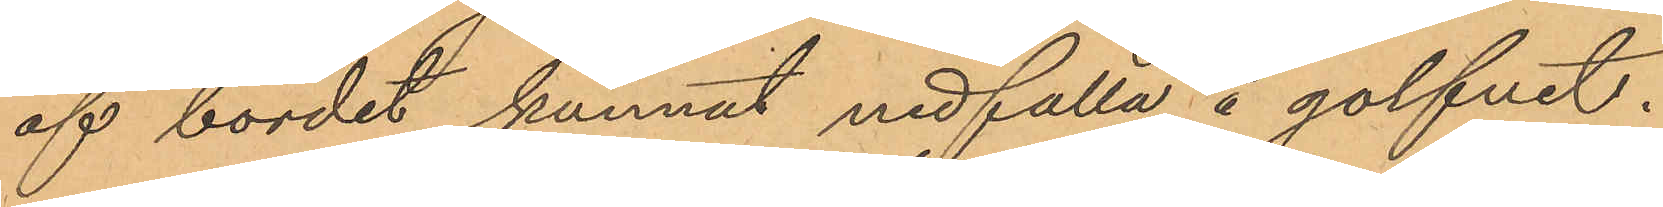af bordet kunnat nedfalla å golfvet.
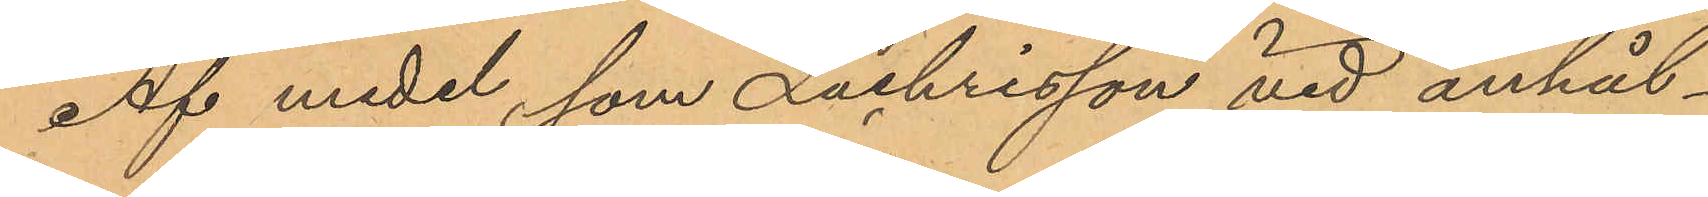Af medel, som Zachrisson vid anhål¬
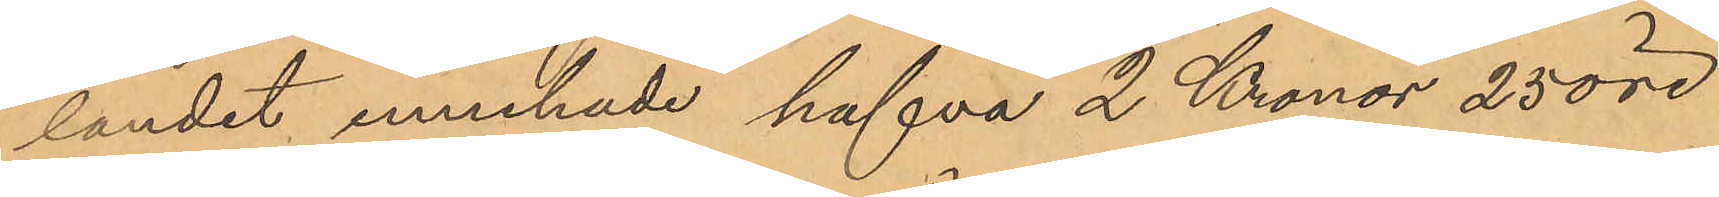landet innehade hafva 2 Kronor 25 öre
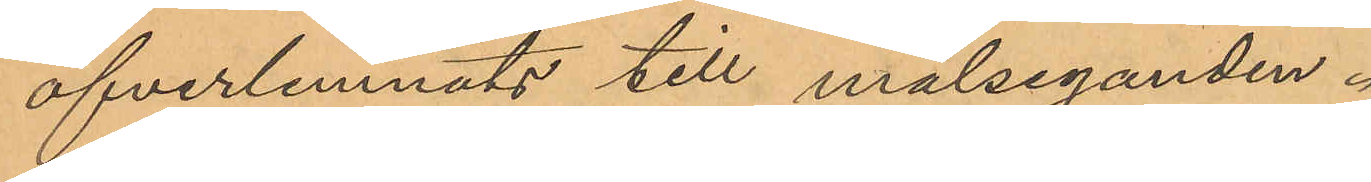öfverlemnats till målseganden.
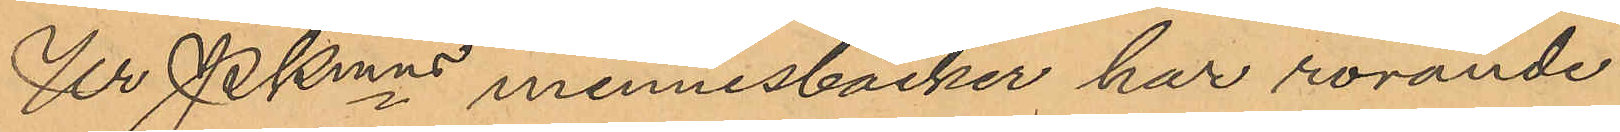Ur Pkmns minnesböcker har rörande
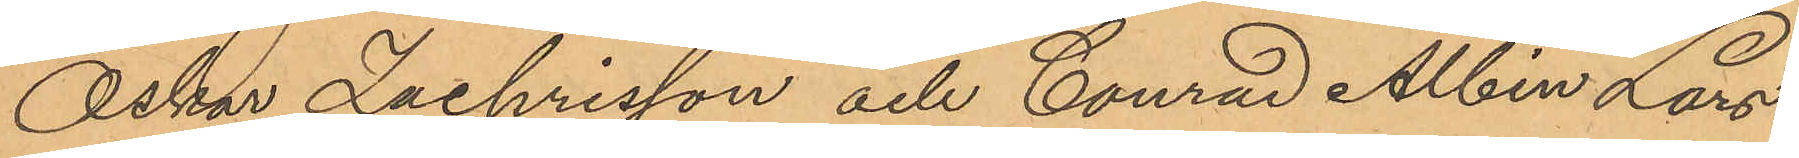Oskar Zachrisson och Conrad Albin Lars¬
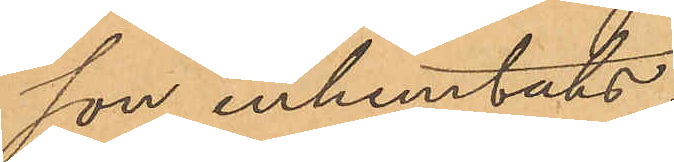son inhemtats:
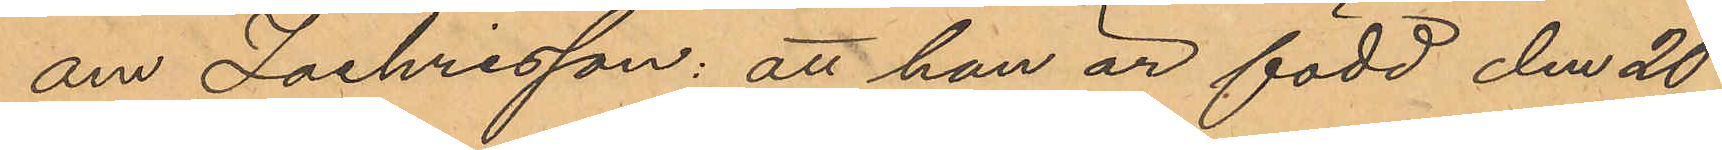om Zachrisson: att han är född den 20
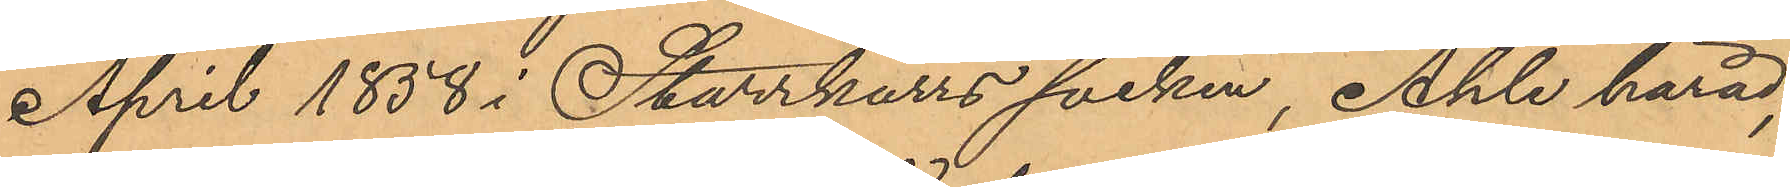April 1858 i Starrkärrs socken, Ahle härad;
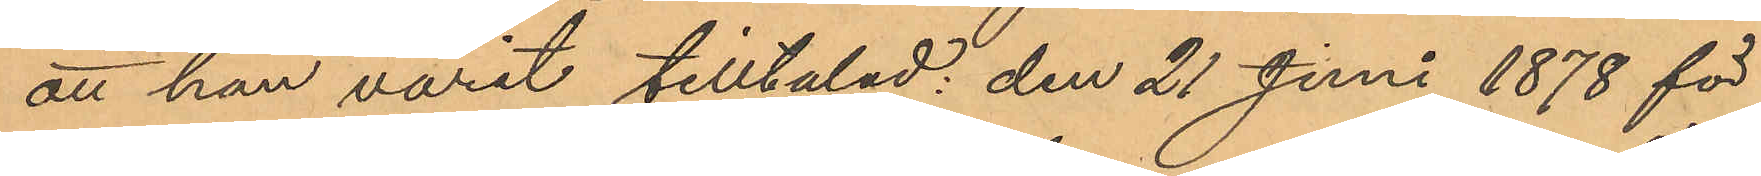att han varit tilltalad den 21 Juni 1878 för
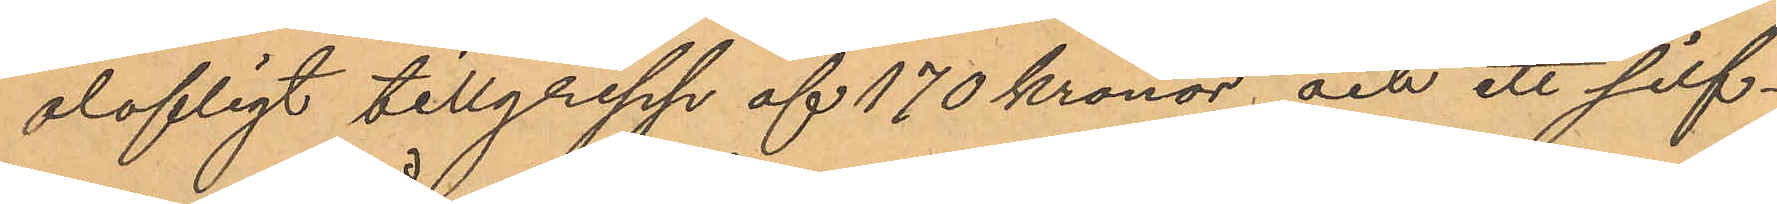olofligt tillgrepp af 170 Kronor och ett silf¬
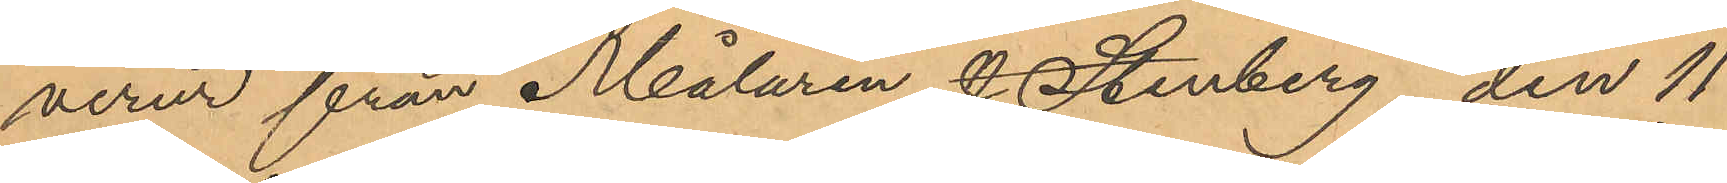verur från Målaren J. Stenberg; den 11
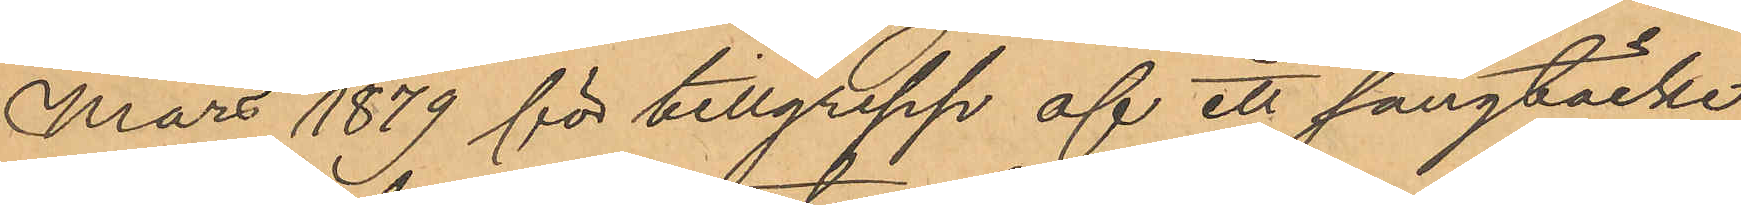Mars 1879 för tillgrepp af ett sängtäcke
